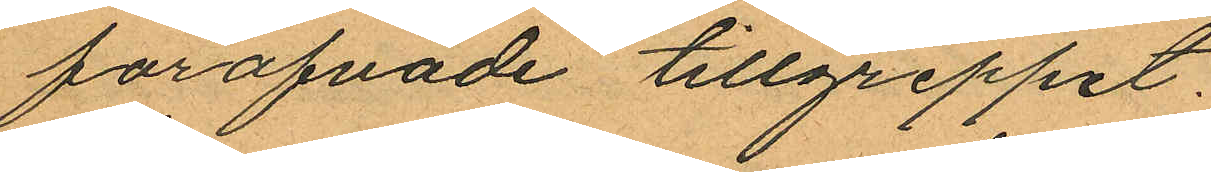föröfvade tillgreppet.
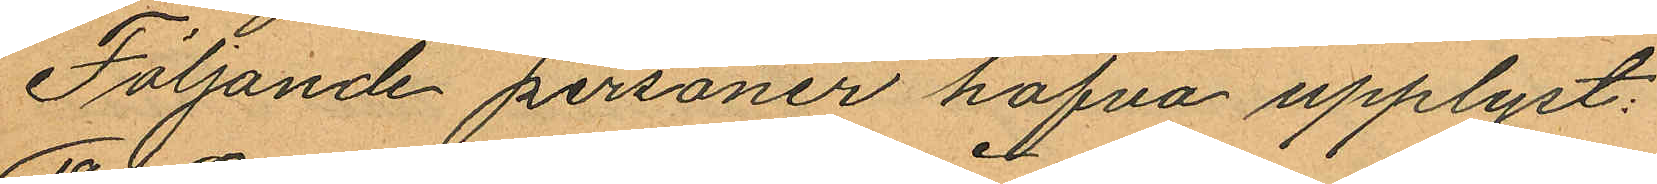Följande personer hafva upplyst:
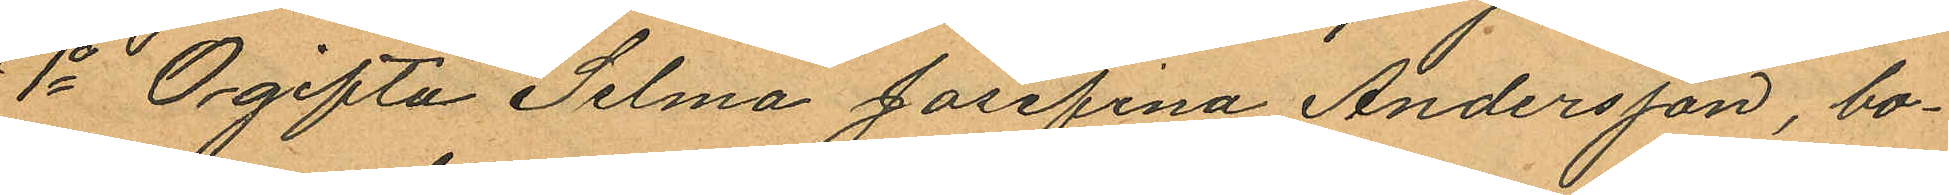1o Ogifta Selma Josefina Andersson, bo¬
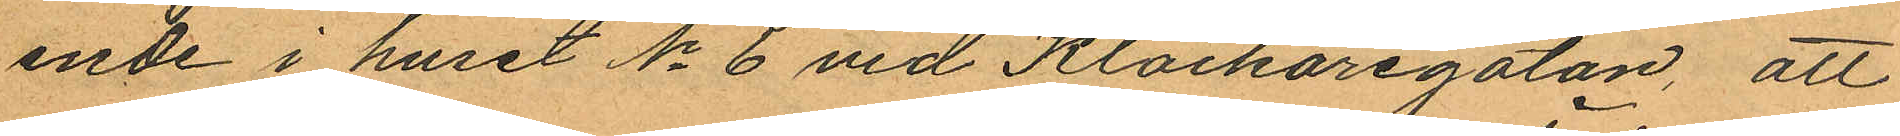ende i huset No 6 vid Klockaregatan, att
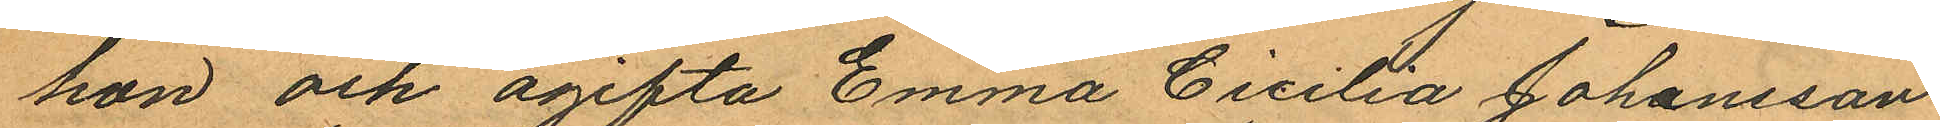hon och ogifta Emma Cicilia Johansson
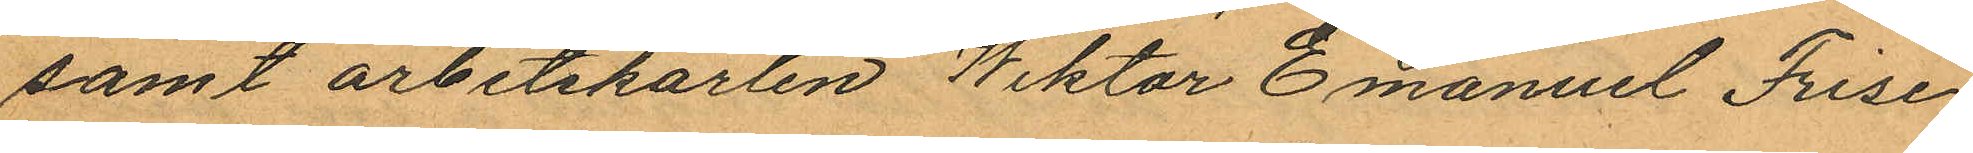samt arbetskarlen Wiktor Emanuel Frise
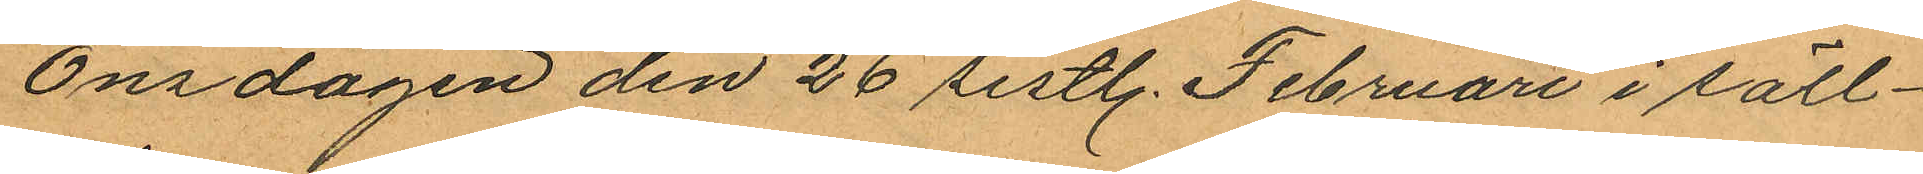Onsdagen den 26 sistl. Februari i säll¬
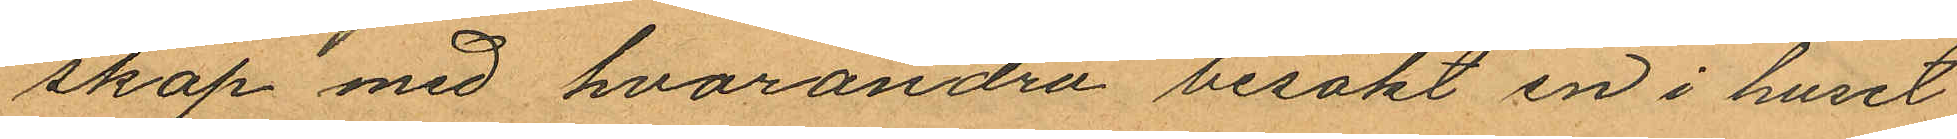skap med hvarandra besökt en i huset
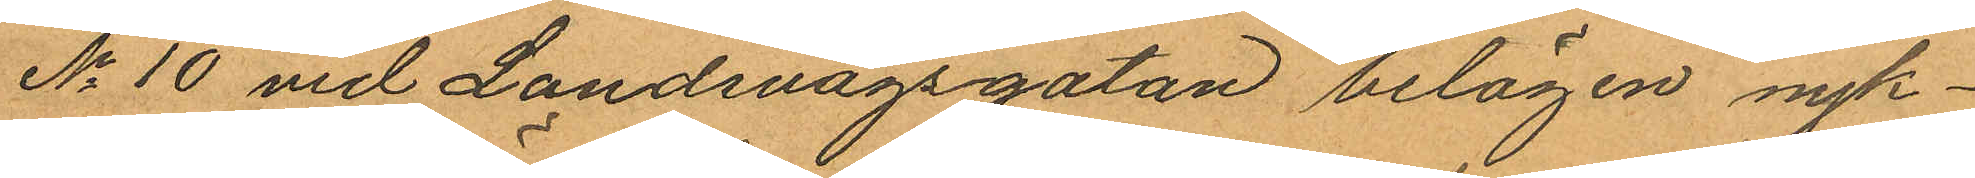No 10 vid Landsvägsgatan belägen nyk¬
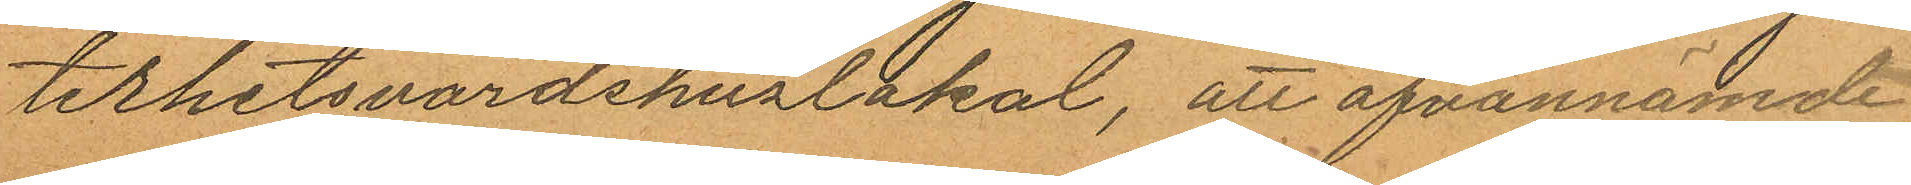terhetsvärdshuslokal, att ofvannämde
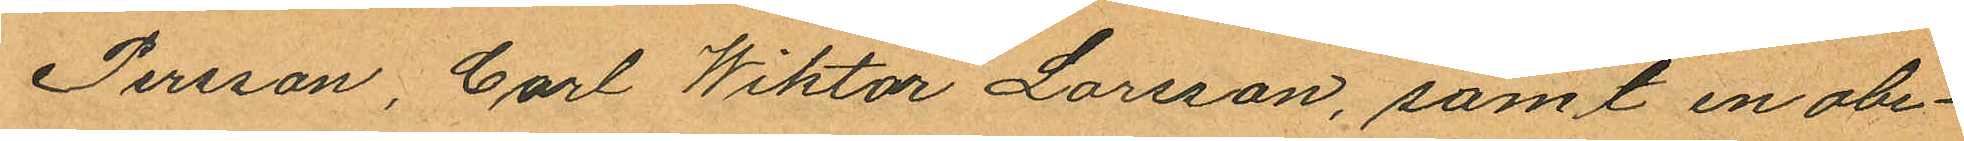Persson, Carl Wiktor Larsson, samt en obe¬
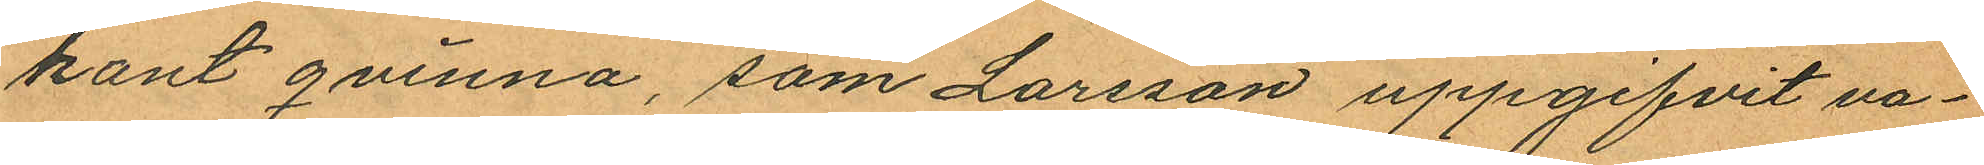kant qvinna, som Larsson uppgifvit va¬
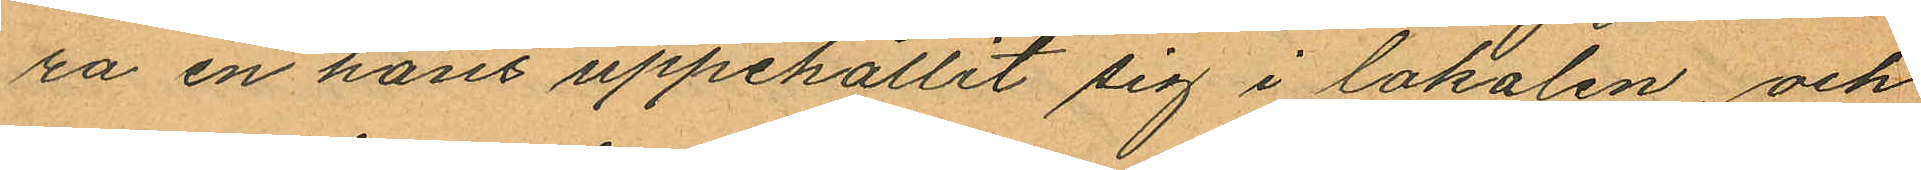ra en hans uppehållit sig i lokalen, och
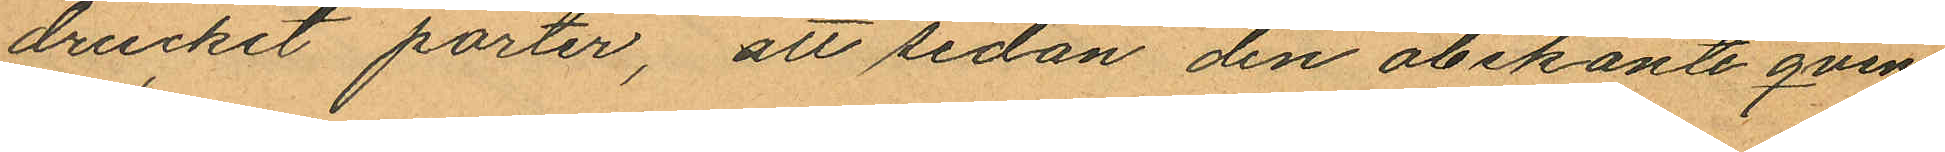druckit porter, att sedan den obekanta qvin¬
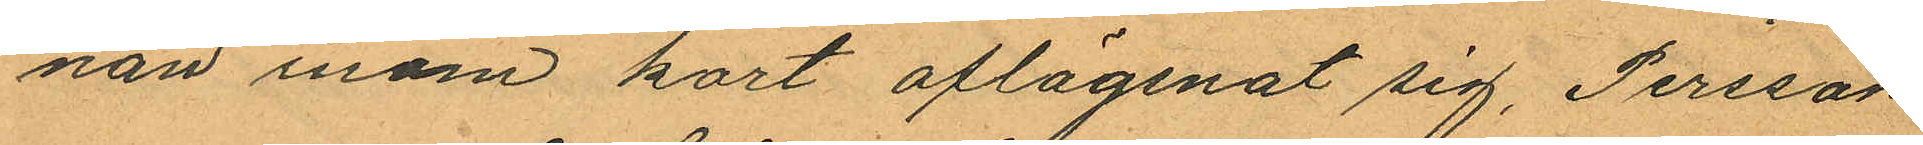nan inom kort aflägsnat sig, Persson
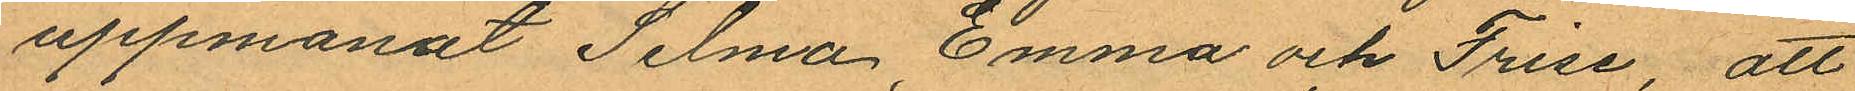uppmanat Selma, Emma och Frise, att
